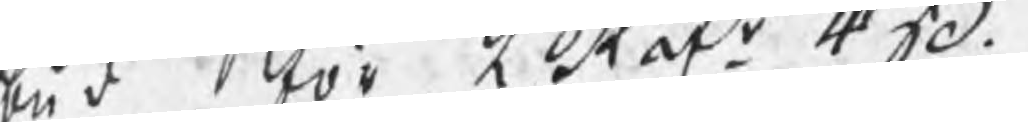wid tör Ktaf: 4Jo. 
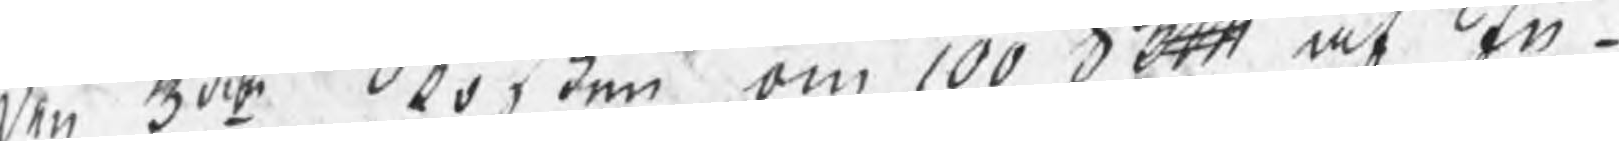den 30o ko den om 100D.ott, at in¬
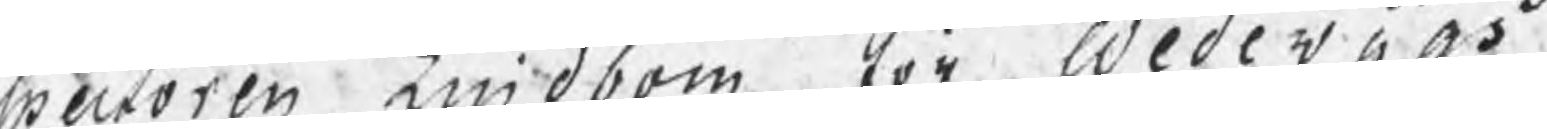uroren middom för WedevbA.
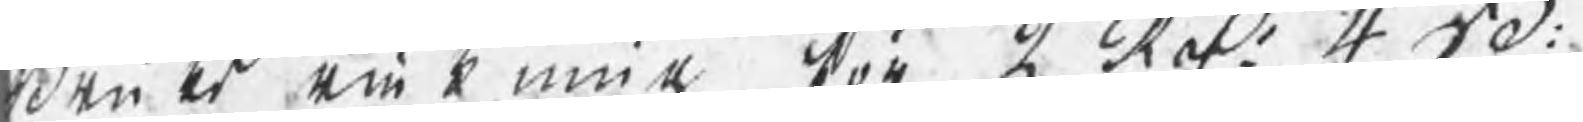den er am kmia kor å Rof 440. 
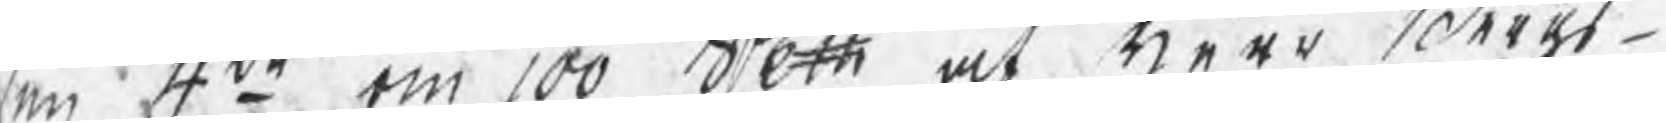eu 4:.to om 100 dett at tieer derst¬ 
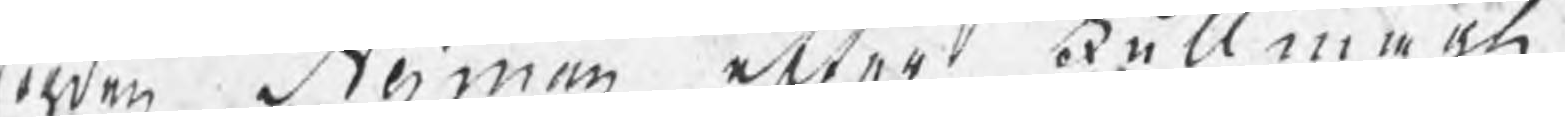men Seman etter Fullmeen
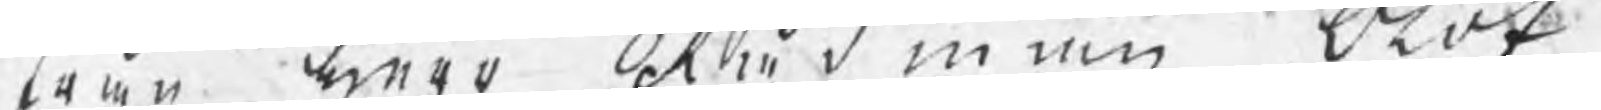wen mero ektudiin Ordt
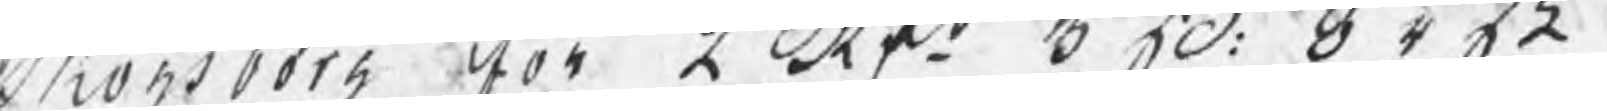Monsborh Aor Lkf o3: Otok. 
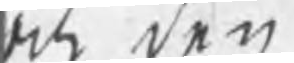och den
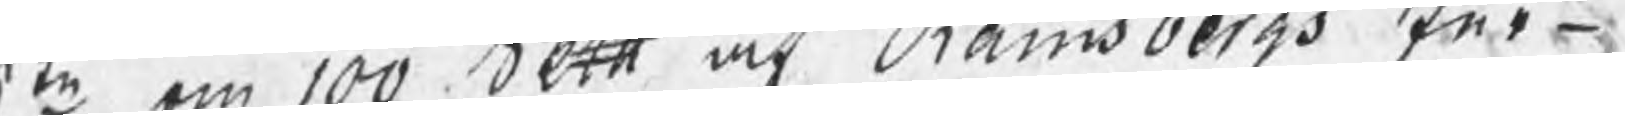te om 100 dtt ock Hamsbergs Eer¬ 
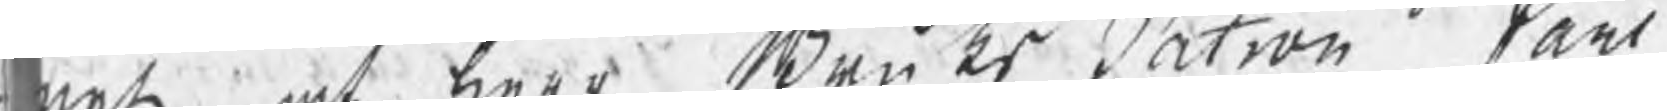met, at twar Bruks Satron tart
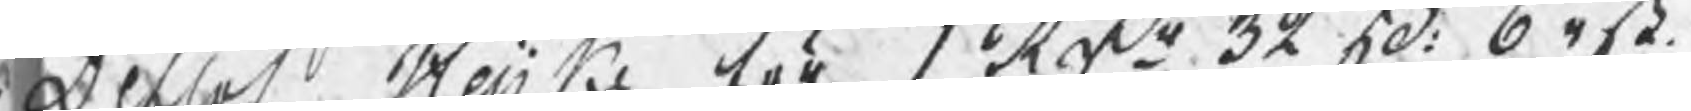denlof Nertie För SKäs 32 50: 041ä 
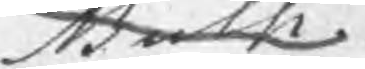Sakk
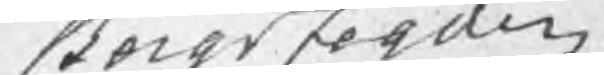Secgs Feglen
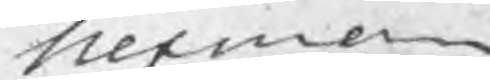siermen
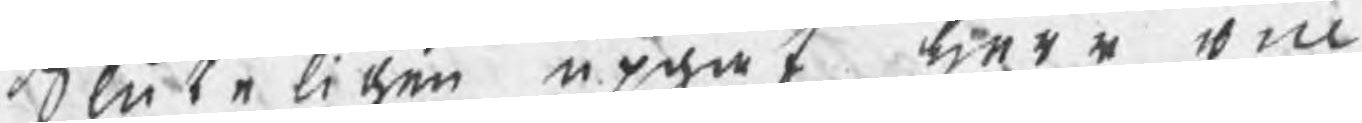Sluta liden eprat tiera vin
